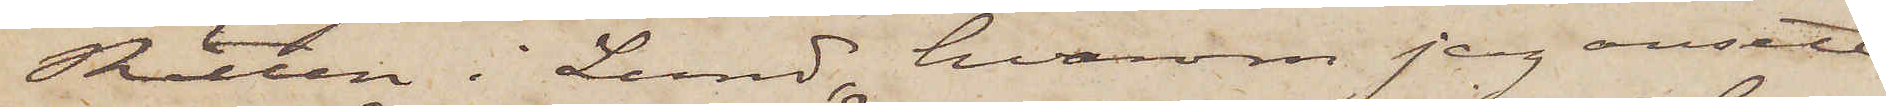Rätten i Lund, hvarom jag ansett
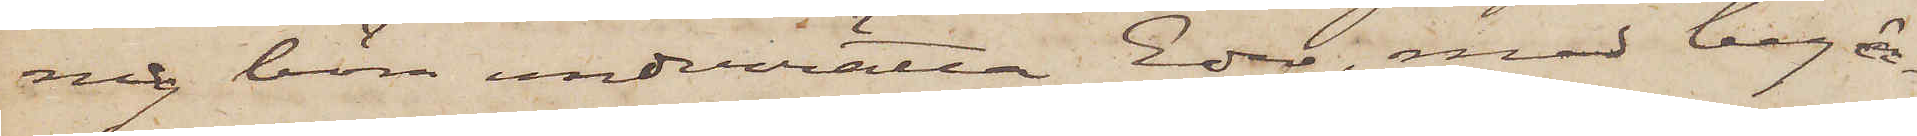mig böra underrätta Eder, med begär¬
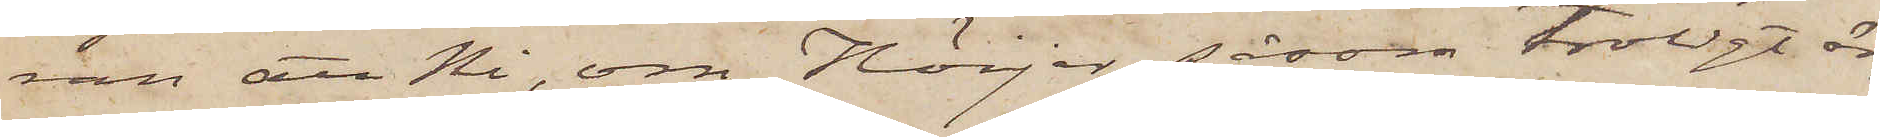ran att Ni, om Höijer, såsom troligt är,
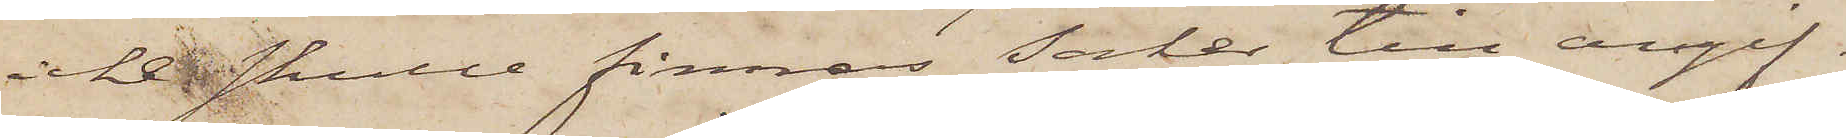icke skulle finnas saker till angif¬
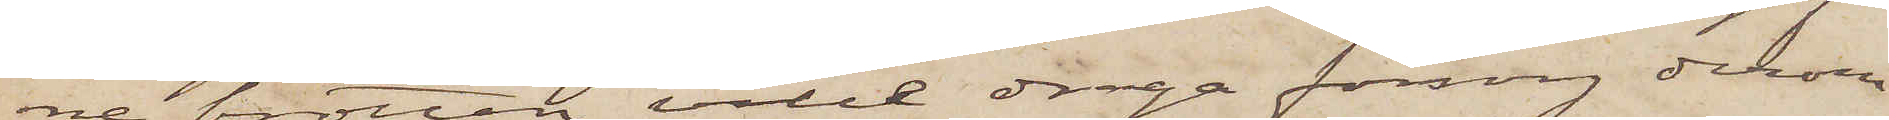ne brotten, ville draga försorg derom
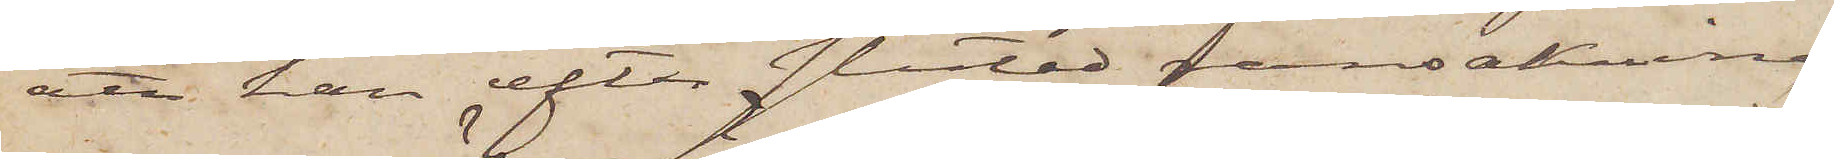att han efter slutad ransakning
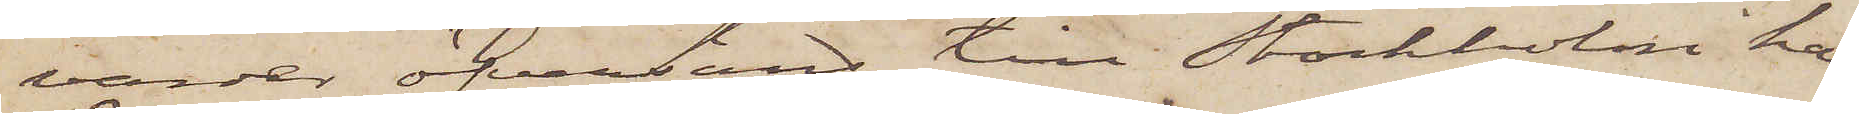varder öfversänd till Stockholm hans
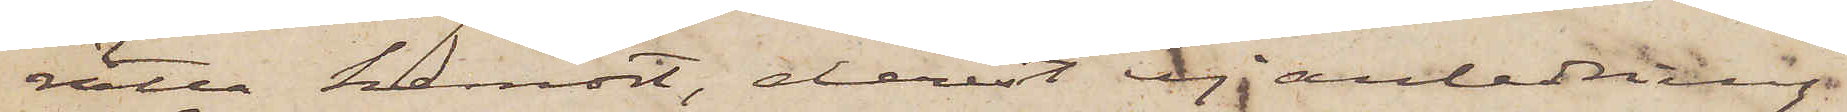rätta hemort, derest ej anledning
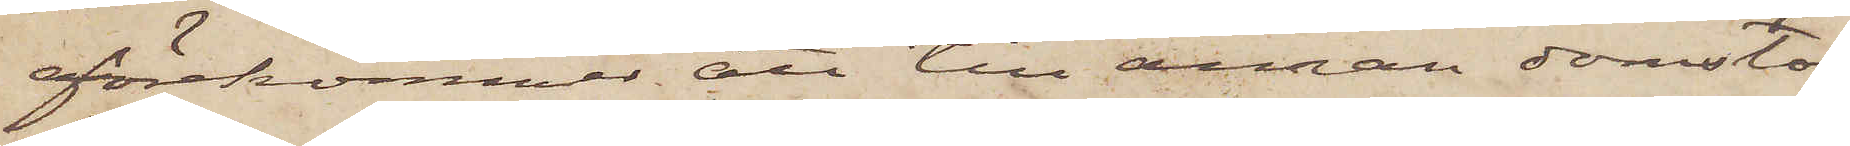förekommer att till annan domstol
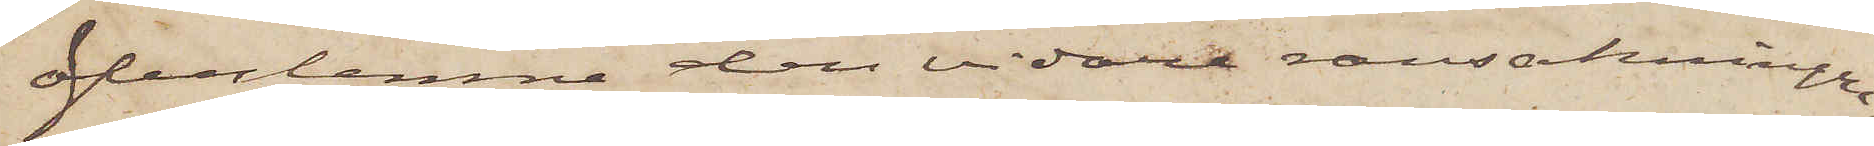öfverlemna den vidare ransakningen.
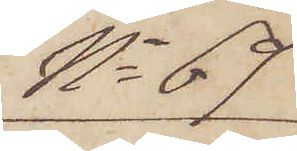No 69
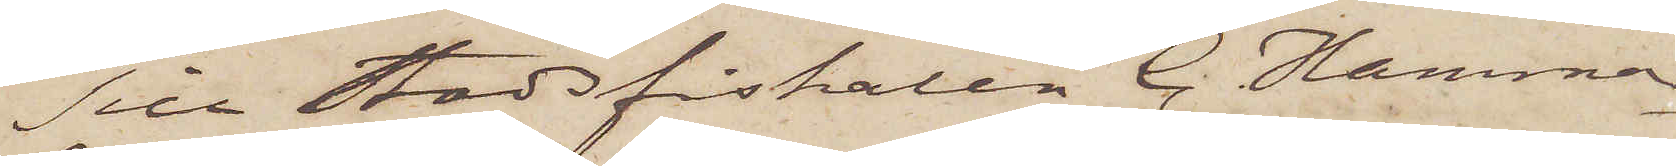Till Stadsfiskalen C. Hammar¬
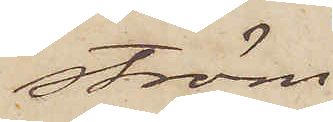ström.
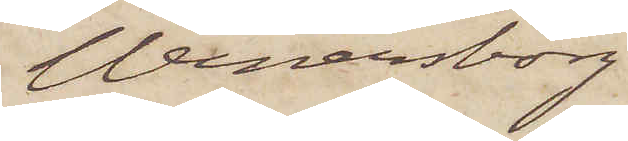Wenersborg
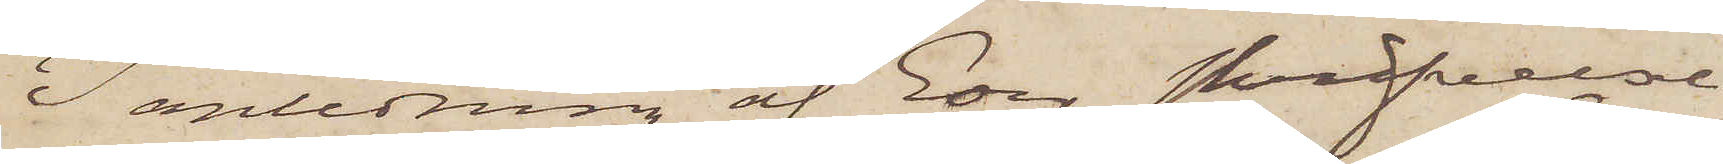I anledning af Eder skrifvelse
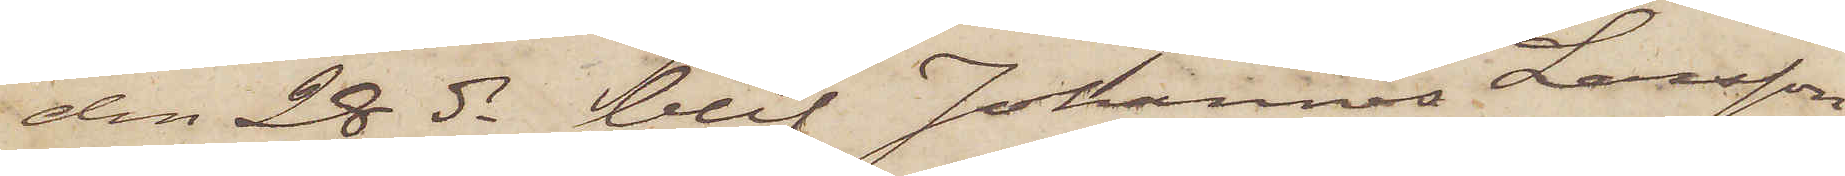den 28 ds blef Johannes Larsson
